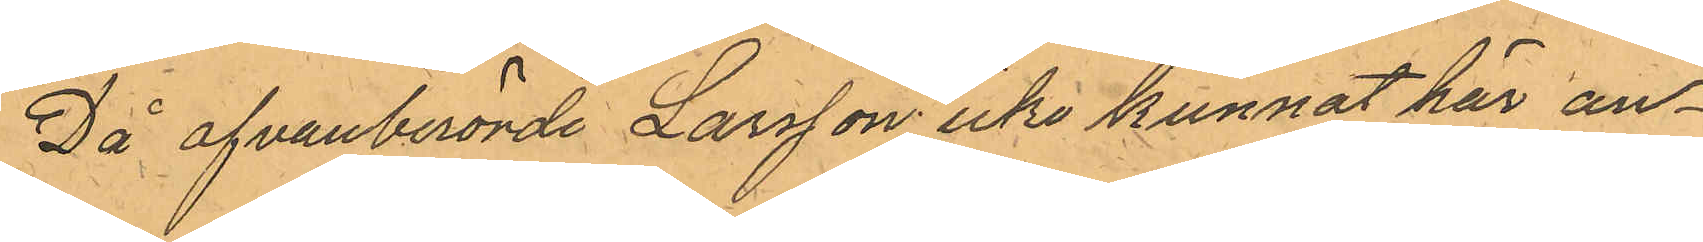Då ofvanberörde Larsson icke kunnat här an¬
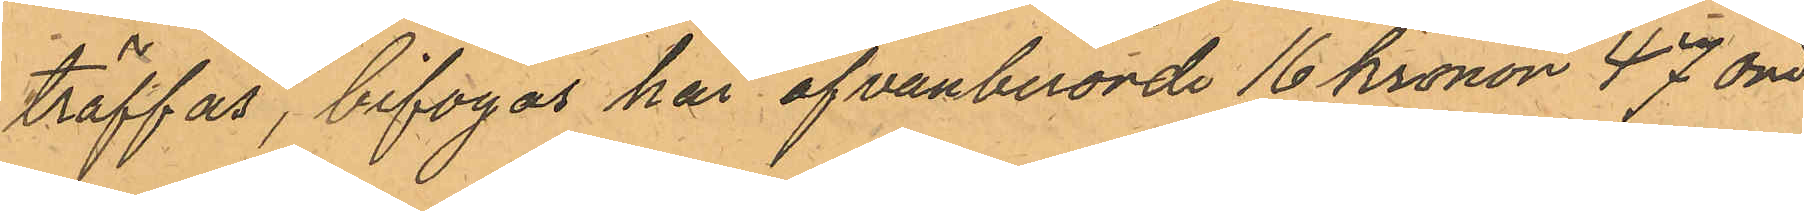träffas, bifogas här ofvanberörde 16 Kronor 47 öre
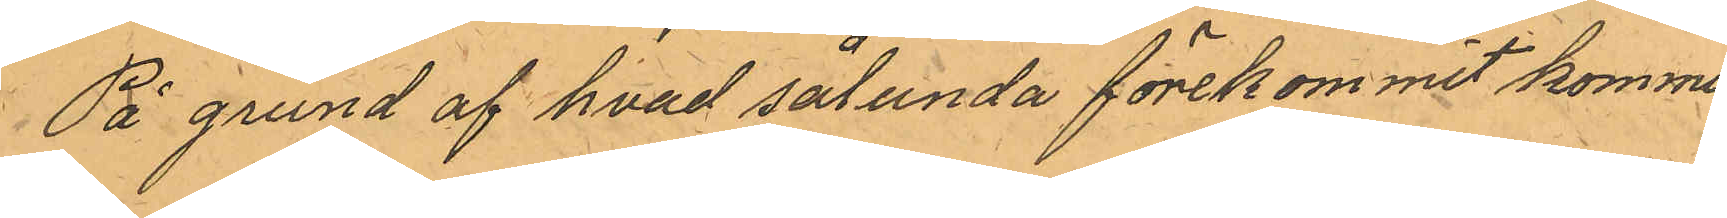På grund af hvad sålunda förekommit kommer
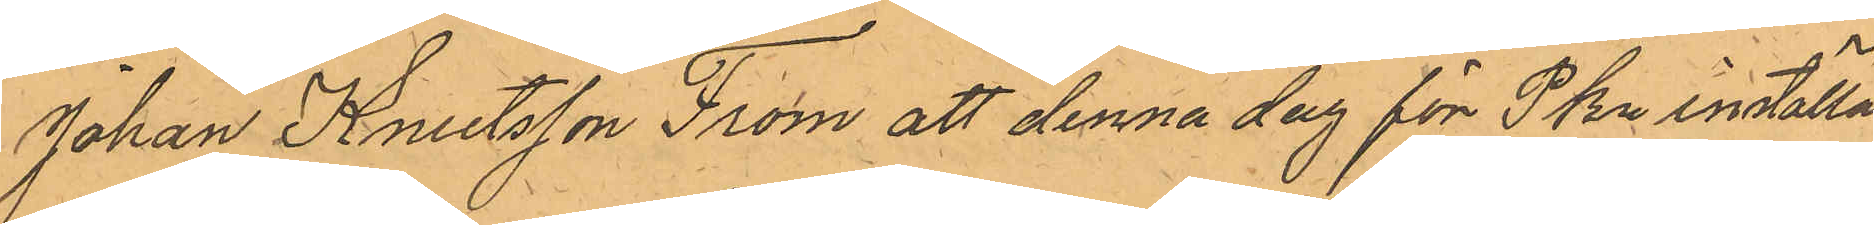Johan Knutsson From att denna dag för PKn inställas
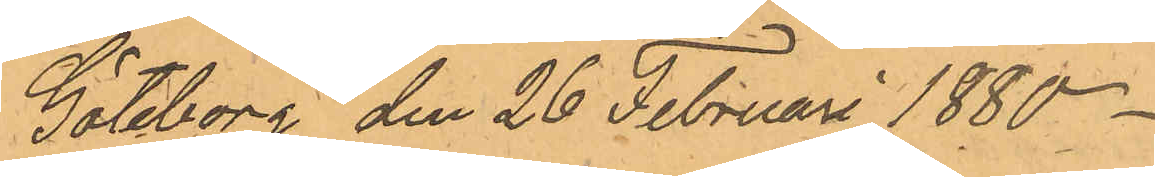Göteborg den 26 Februari 1880.
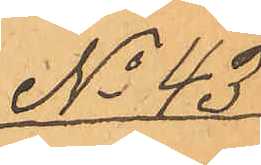No 43
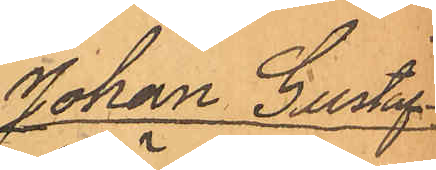Johan Gustaf
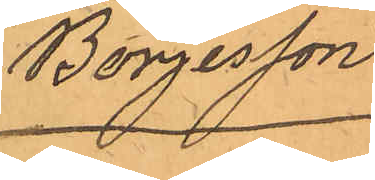Börjesson
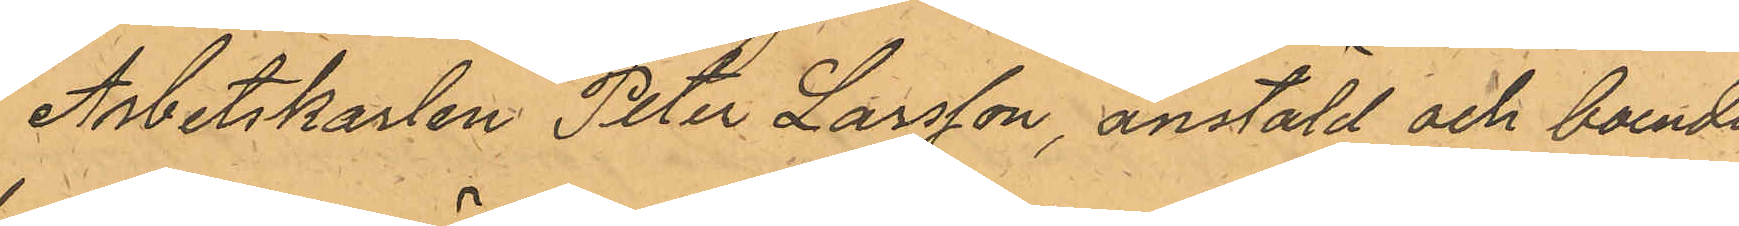Arbetskarlen Peter Larsson, anstäld och boende
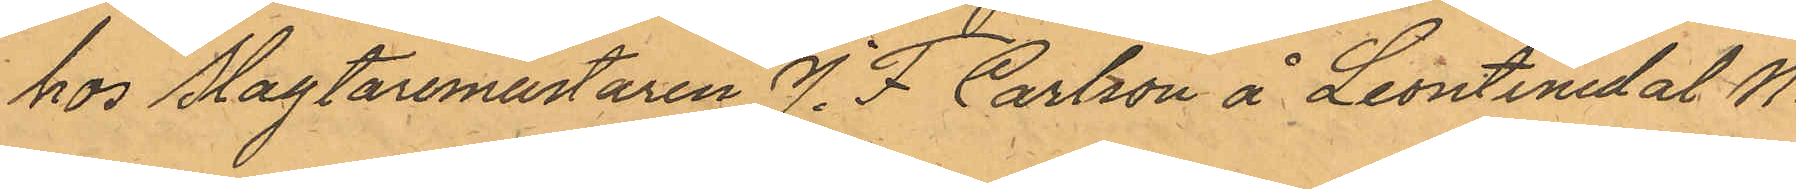hos Slagtaremästaren J. F Carlsson å Leontinedal No
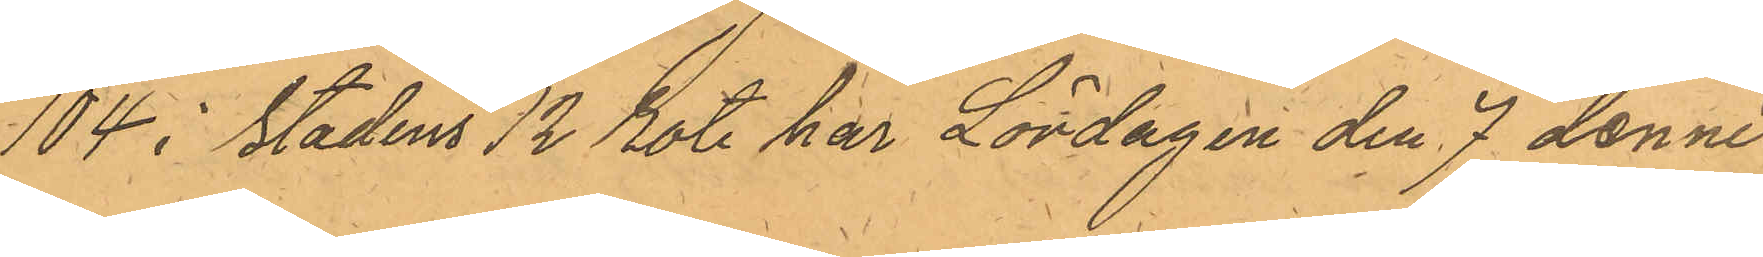104 i Stadens 12 Rote har Lördagen den 7 dennes
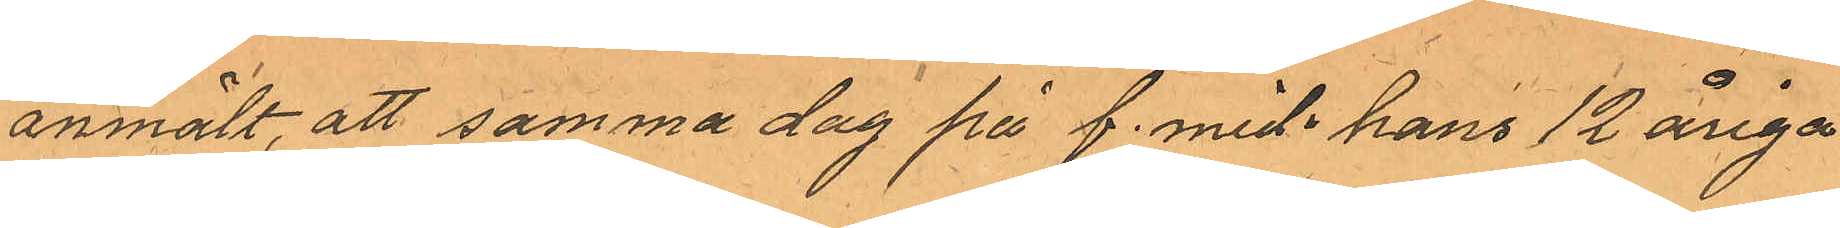anmält, att samma dag på f. mid. hans 12 åriga
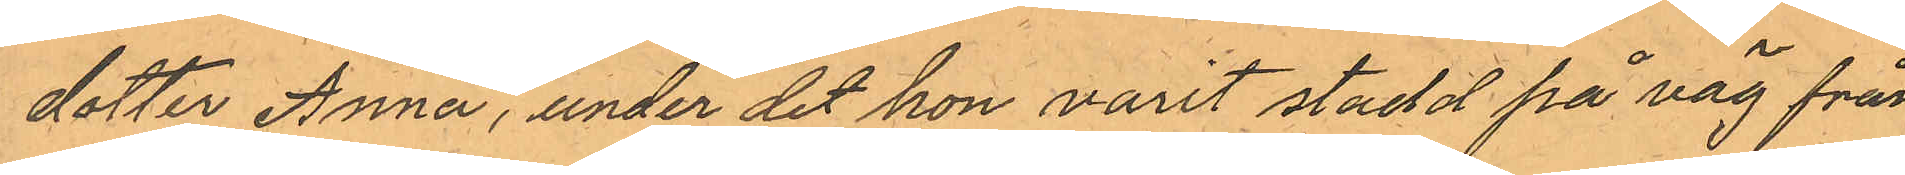dotter Anna, under det hon varit stadd på väg från
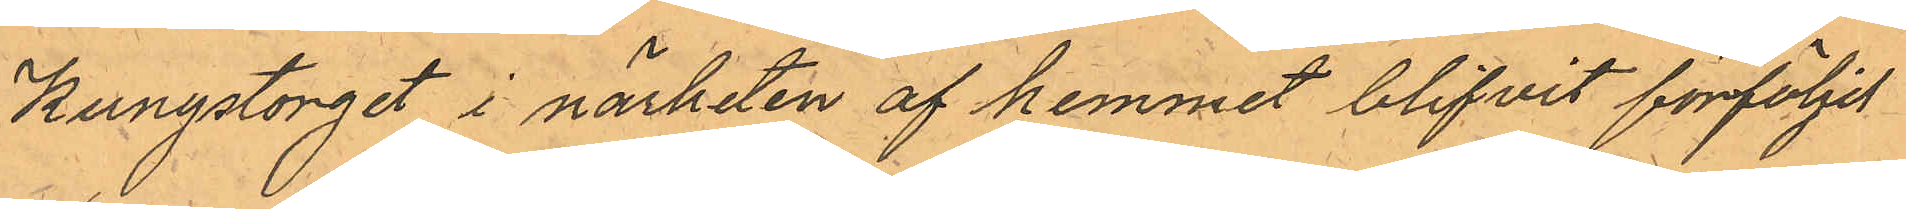Kungstorget i närheten av hemmet blifvit förföljd
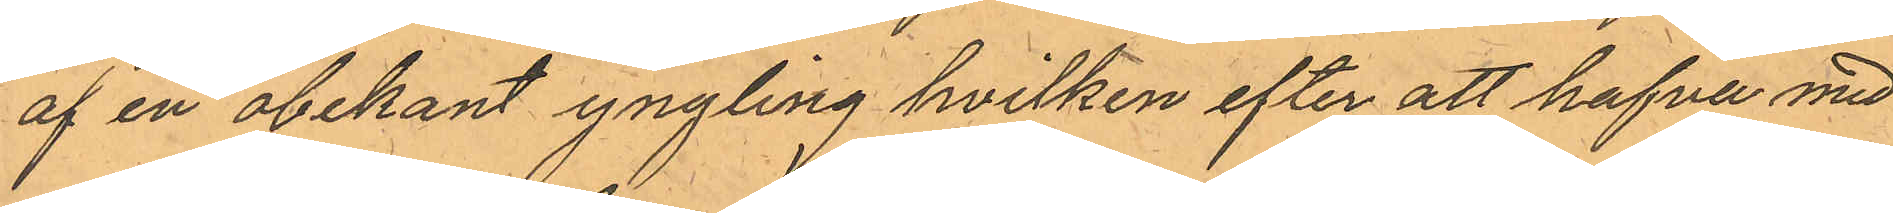af en obekant yngling hvilken efter att hafva med
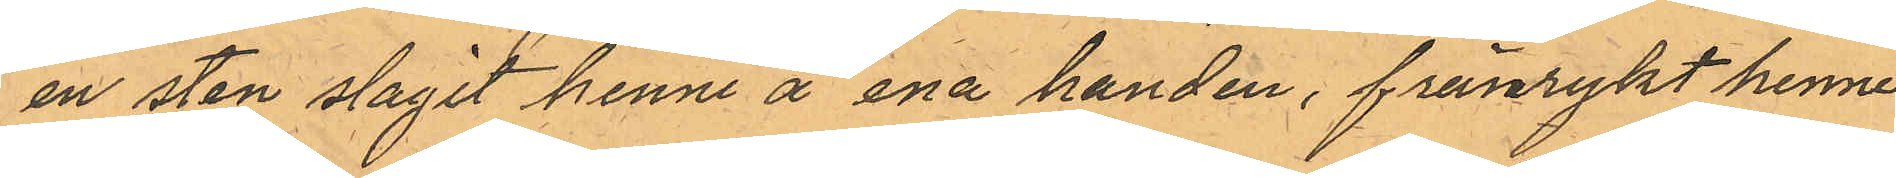en sten slagit henne å ena handen, frånrykt henne
